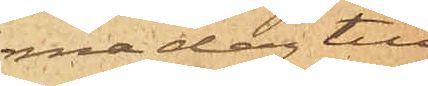ma dag till¬
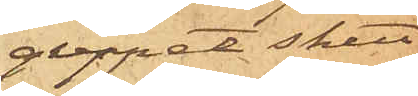greppet skett
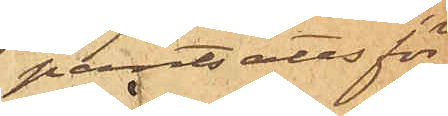pantsatts för
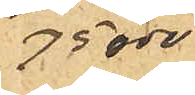75 öre,
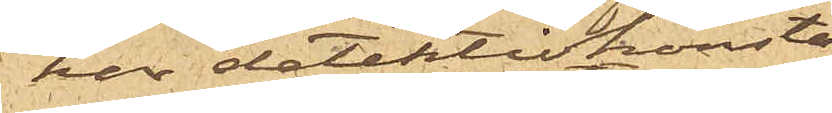har detektivkonsta¬
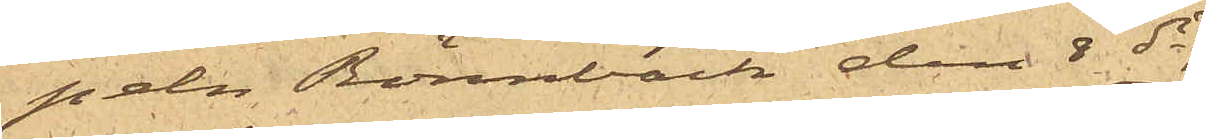peln Rönnbäck den 5 ds
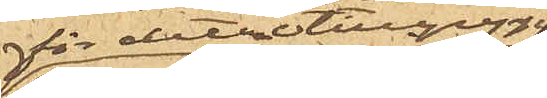för detta tillgrepp
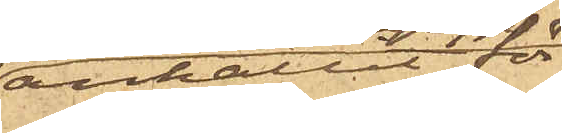anhållit för¬
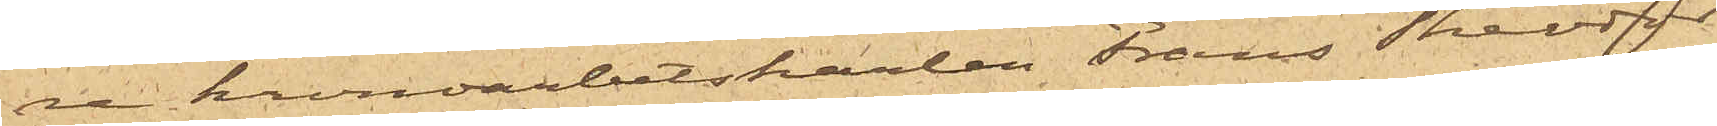re kronoarbetskarlen Frans Theodor
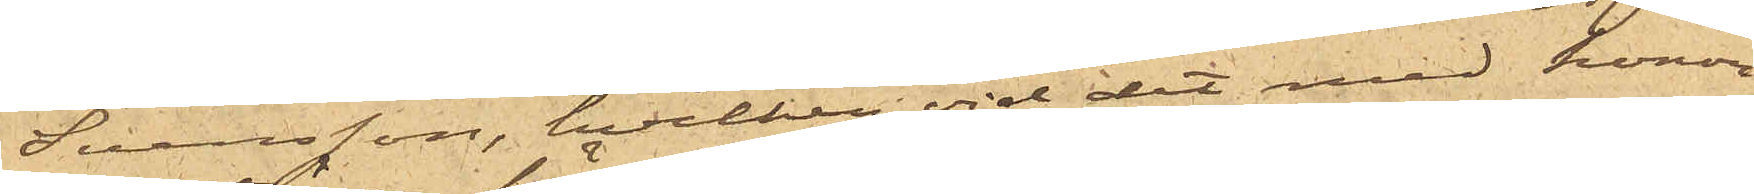Svensson, hvilken vid det med honom
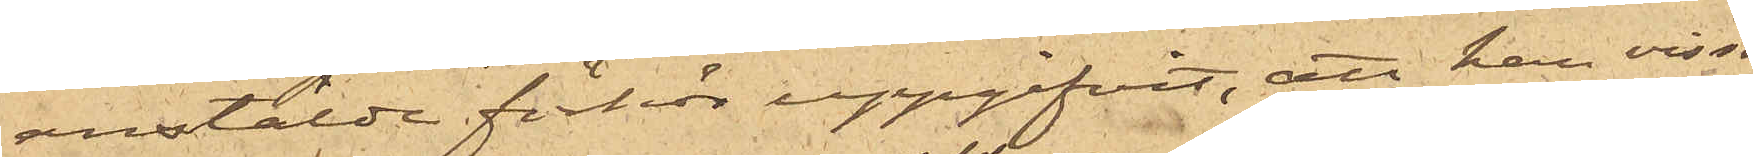anstälde förhör uppgifvit, att han visser¬
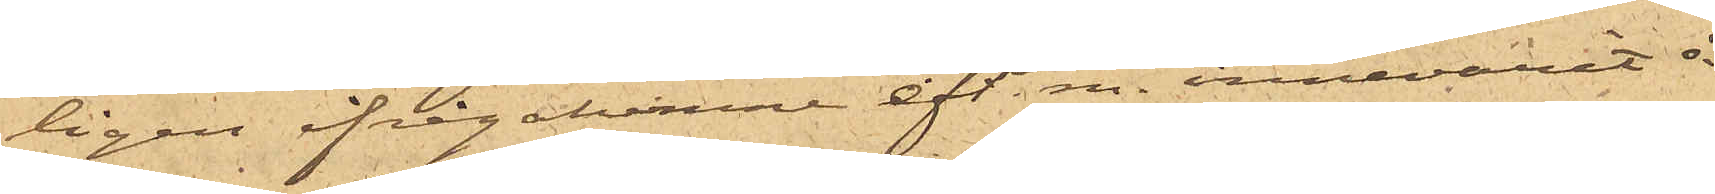ligen ifrågakomne eft.m. innevarit å
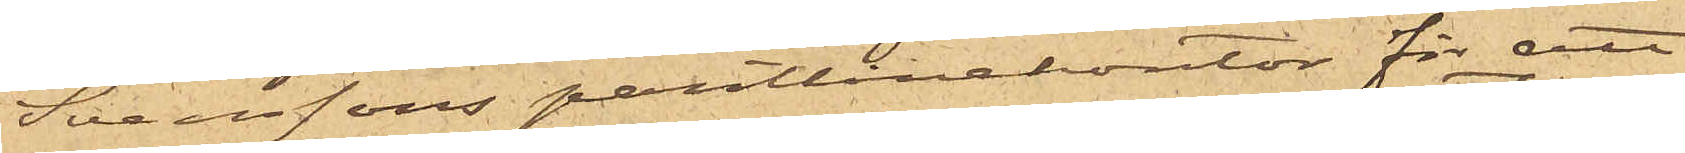Svenssons pantlånekontor för att
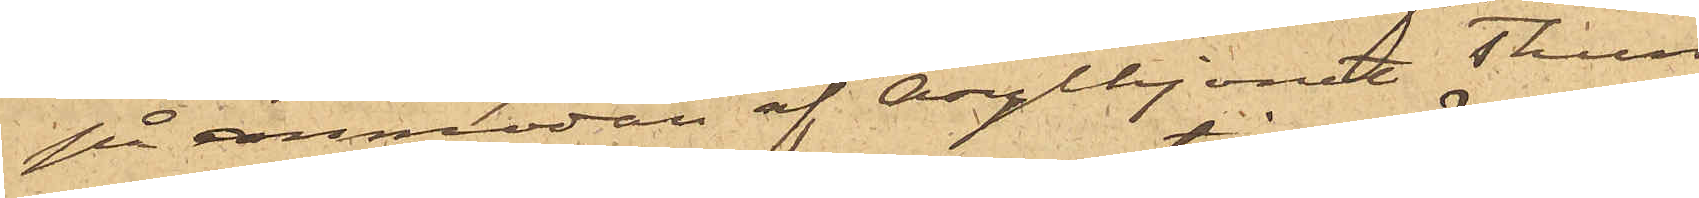på anmodan af asylhjonet Thun
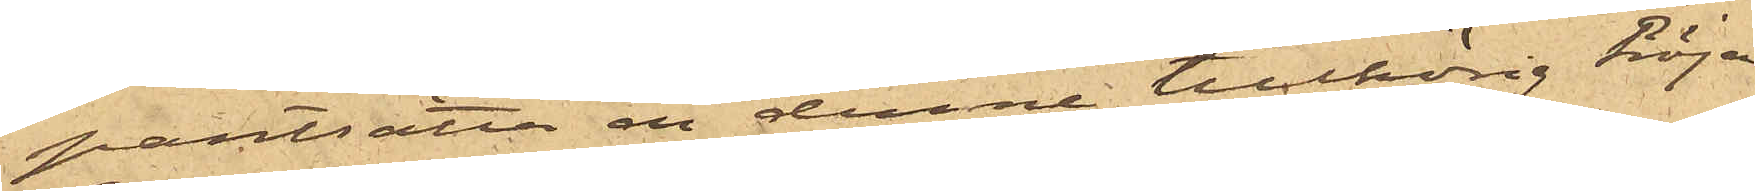pantsätta en denne tillhörig tröja,
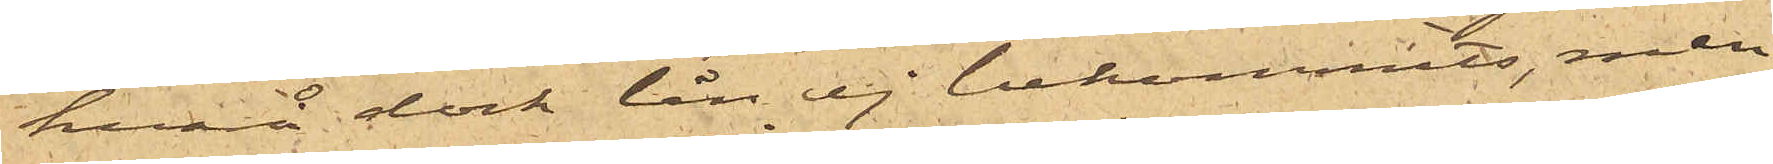hvarå dock lån ej bekommits, men
